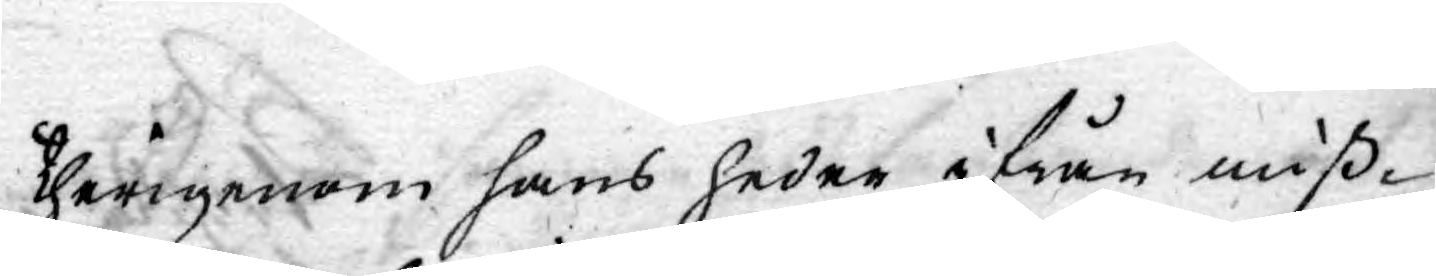therigenom hans heder ifrån miß¬
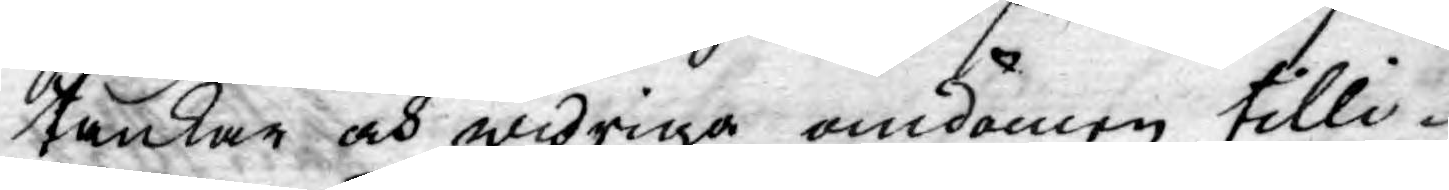tankar och widriga omdömen tilli¬
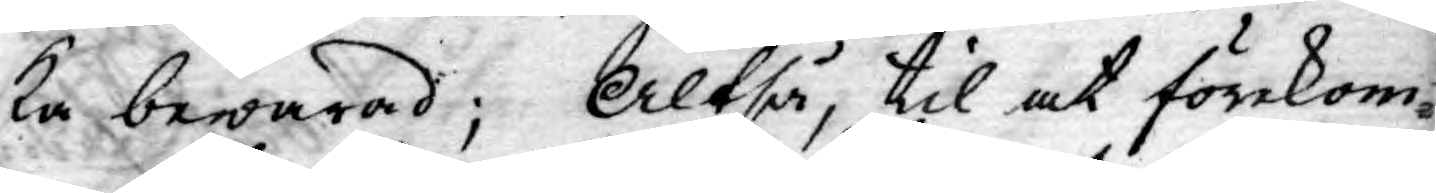ka bewarad; Altså, til at förekom¬
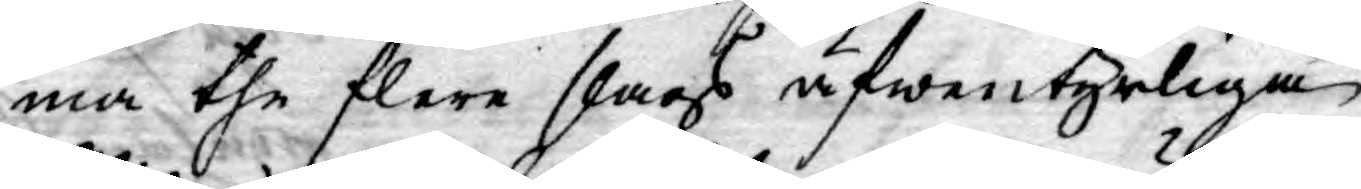ma the flere slags äfwentyrliga
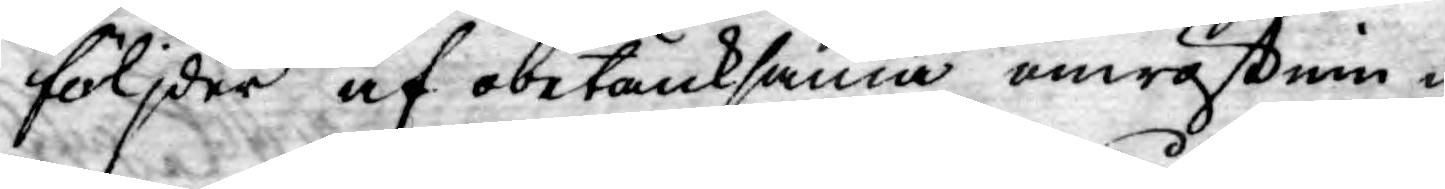följder af obetänksama omröstnin¬
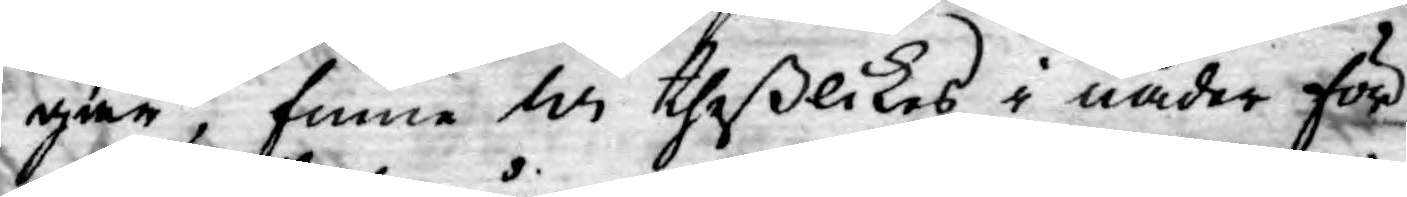gar, finne Wi theßlikes i nåder för
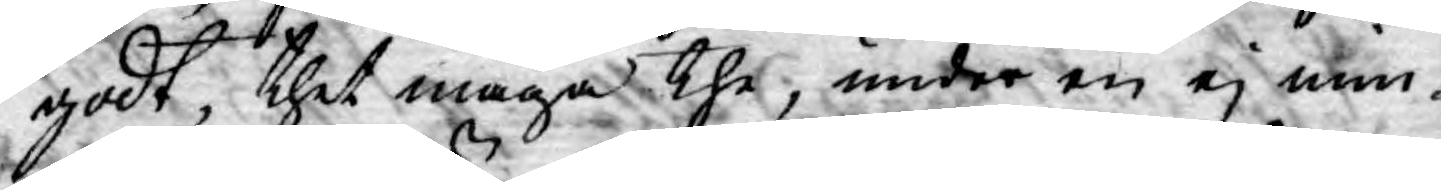godt, thet måga the, under en ej min¬
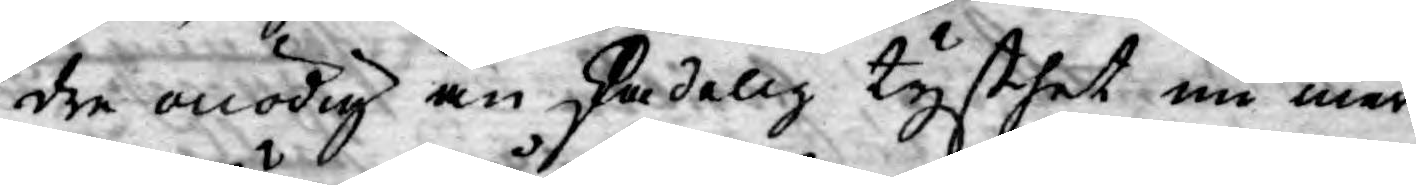dre onödig än skadelig tysthet nu mer
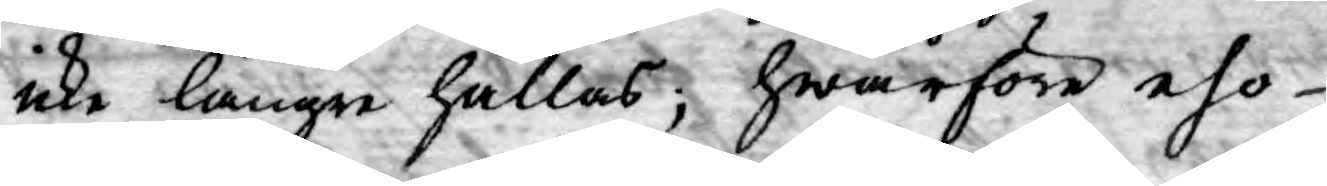icke längre hållas, hwarföre eho
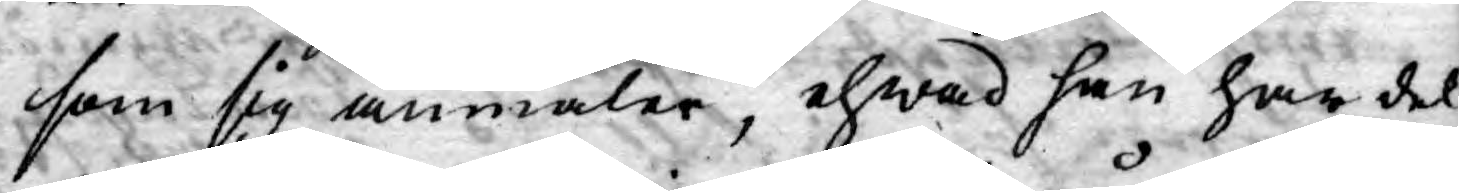som sig anmäler, ehwad han har del
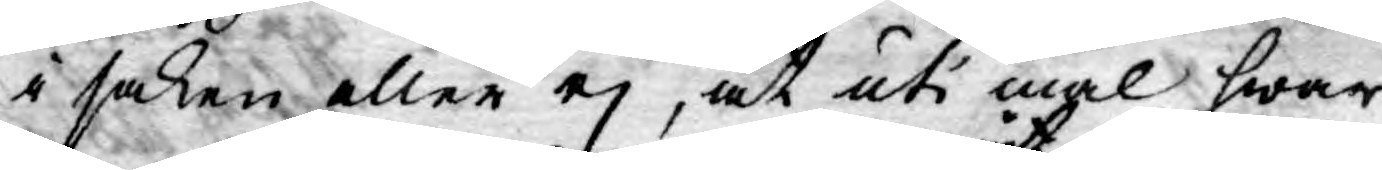i saken eller ej, at uti mål hwar
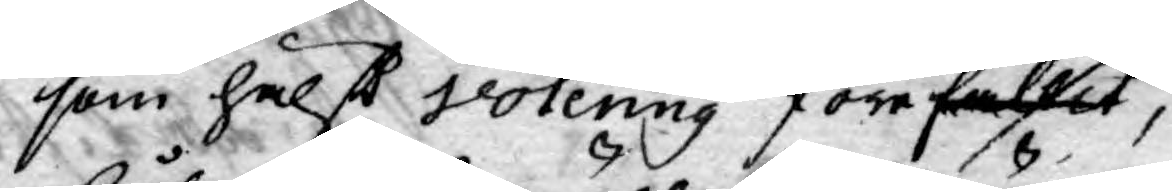som hälßt votering förefallit,
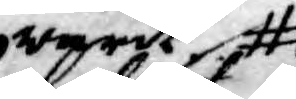warit
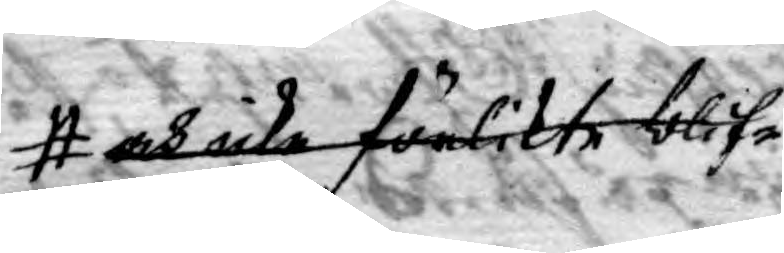och icke förlikte blif¬
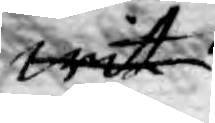wit
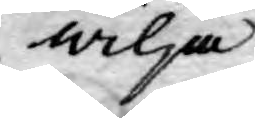wilja
